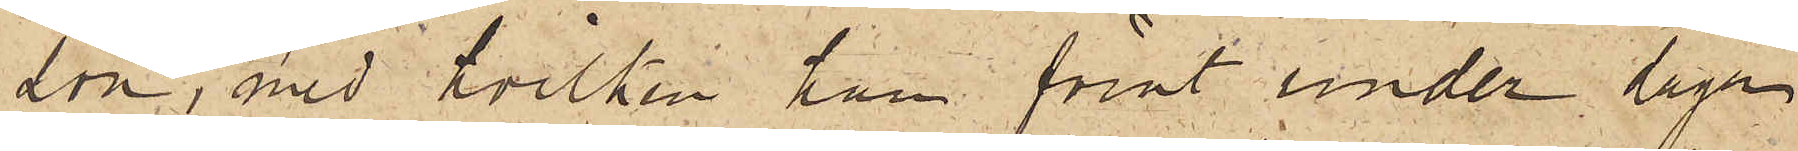son, med hvilken han förut under dagen
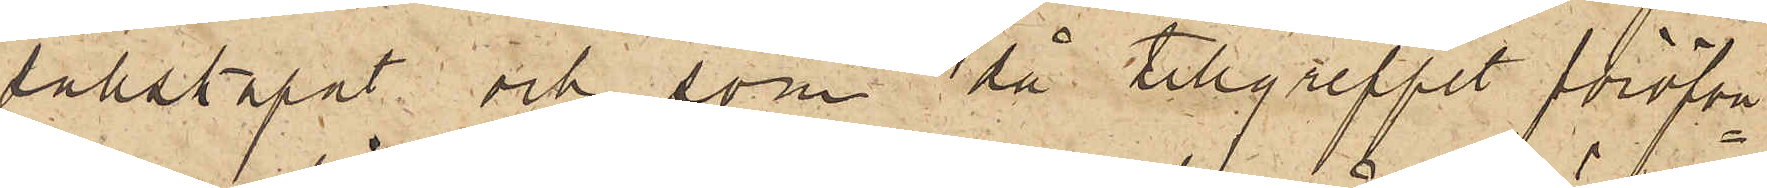sällskapat och som då tillgreppet föröfva¬
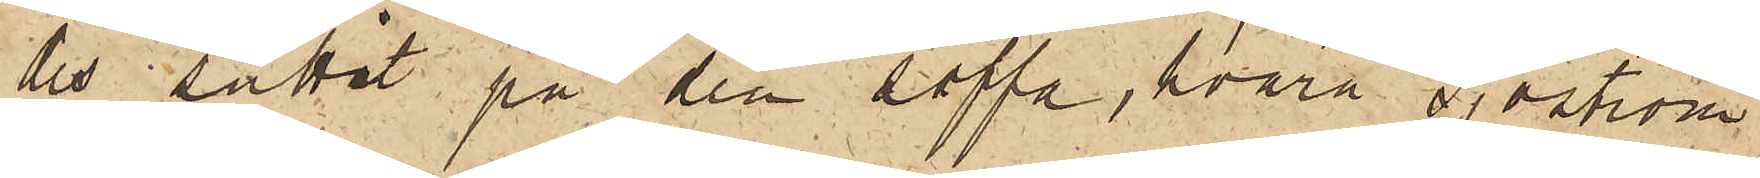des suttit på den soffa, hvarå Sjöström
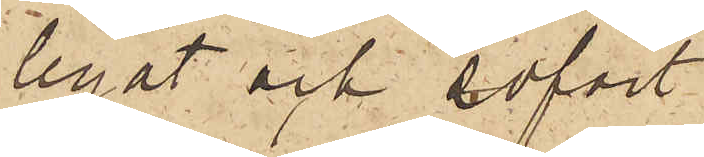legat och sofvit;
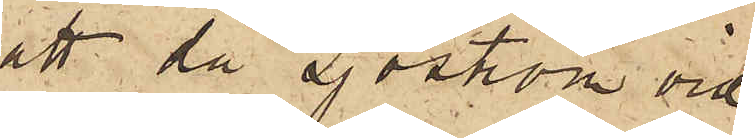att då Sjöström vid
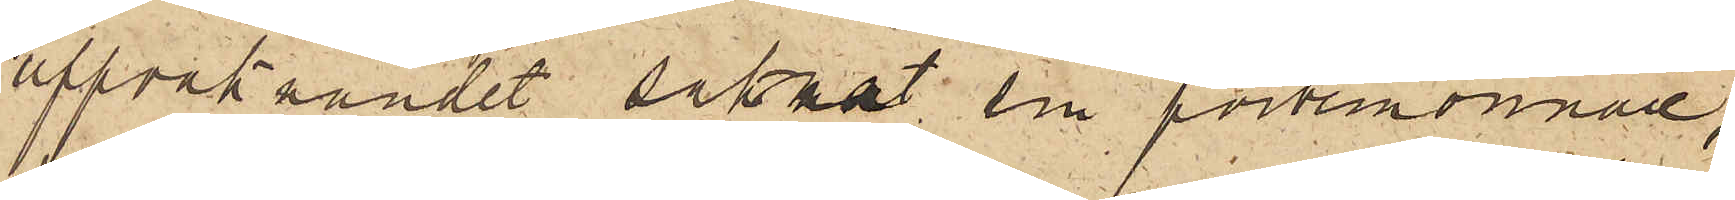uppvaknandet saknat sin portemonnaie,
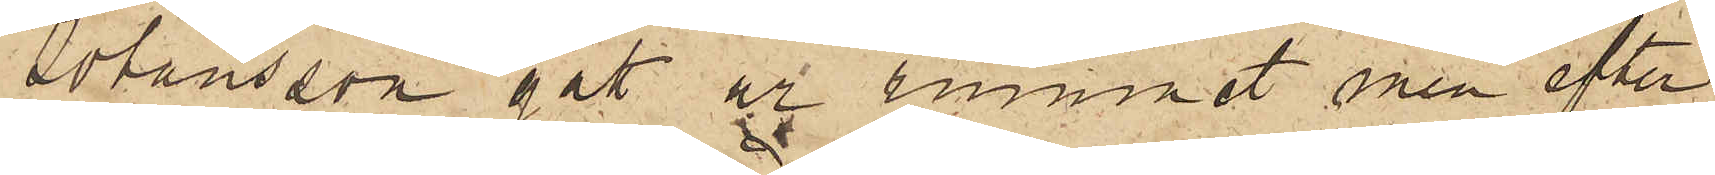Johansson gått ur rummet men efter
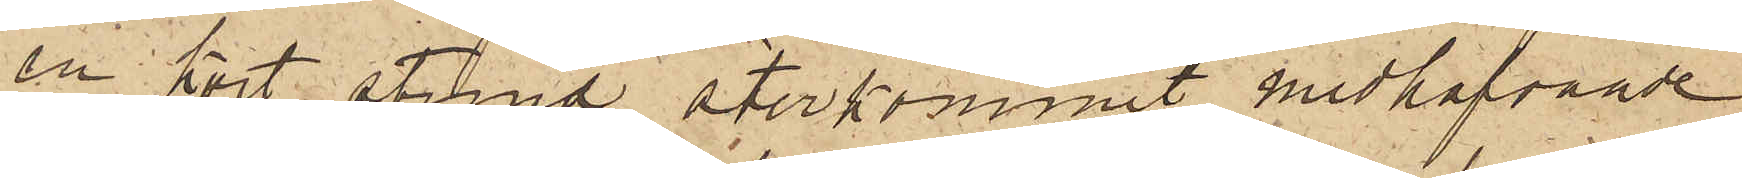en kort stund återkommit medhafvande
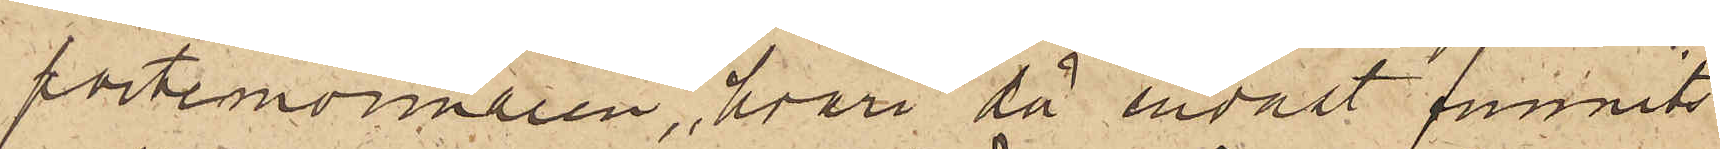portemonnaien, hvari då endast funnits
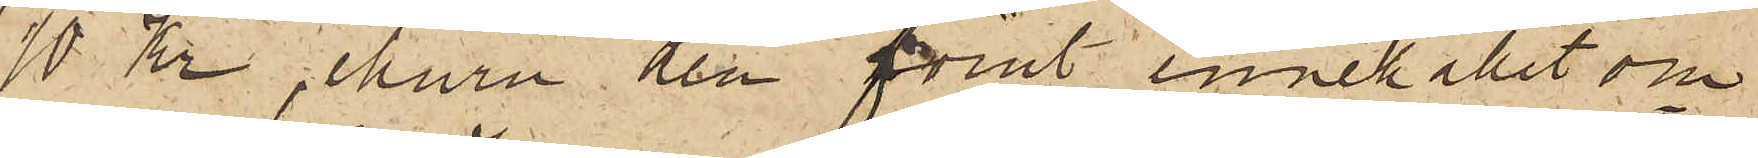10 Kr, ehuru den förut innehållit om¬
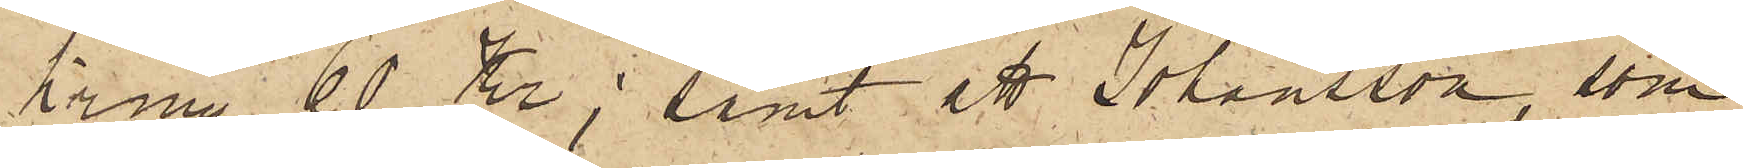kring 60 Kr; samt att Johansson, som
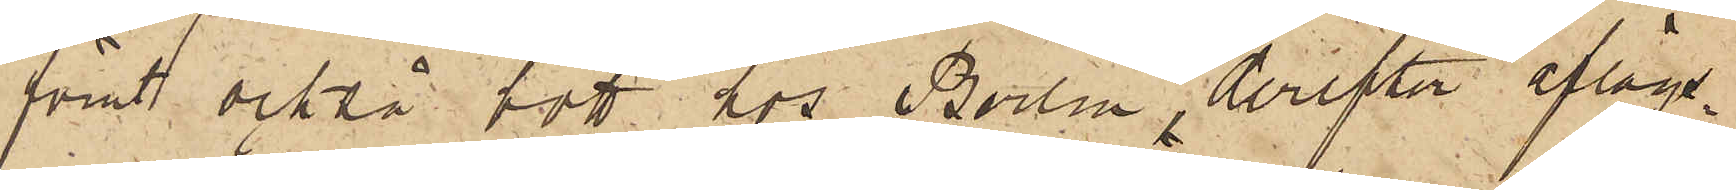förut också sof hos Berlin, derefter aflägs¬
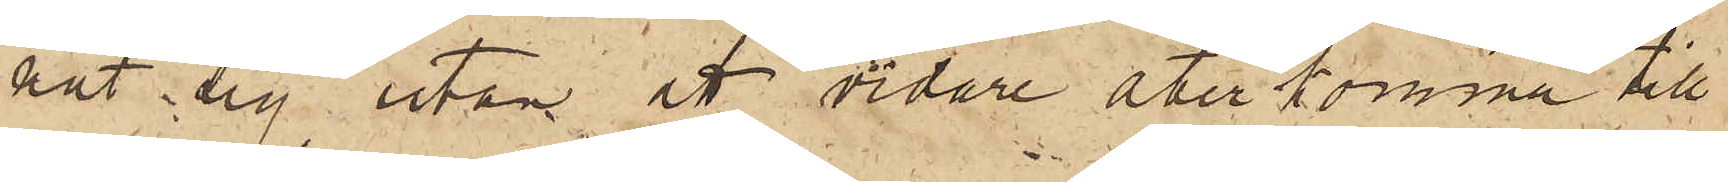nat sig utan att vidare återkomma till
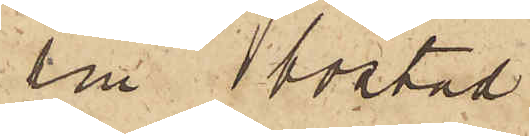sin bostad.
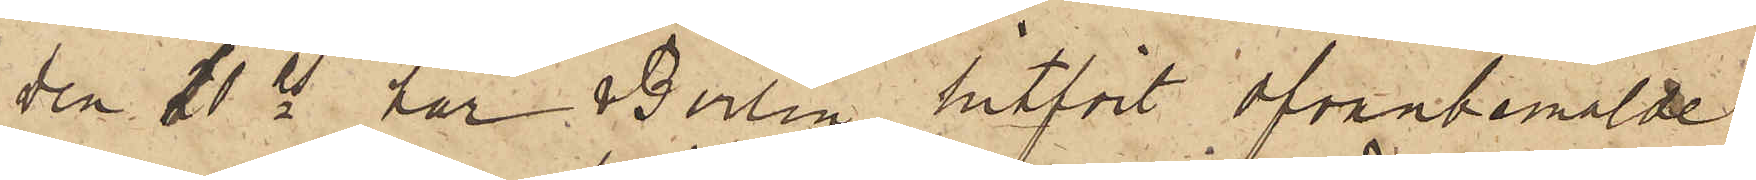Den 11 ds har Berlin hitfört ofvanbemälde
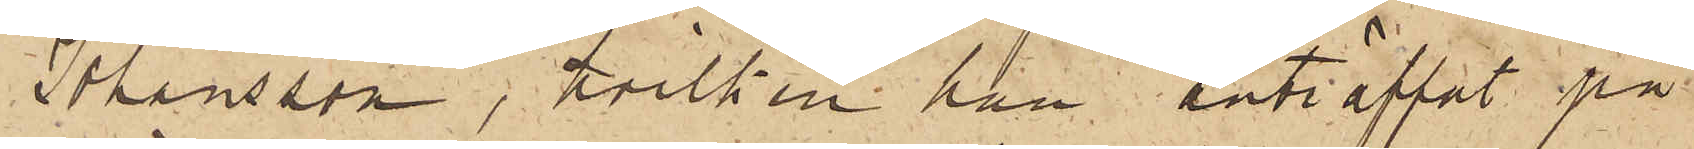Johansson, hvilken han anträffat på
